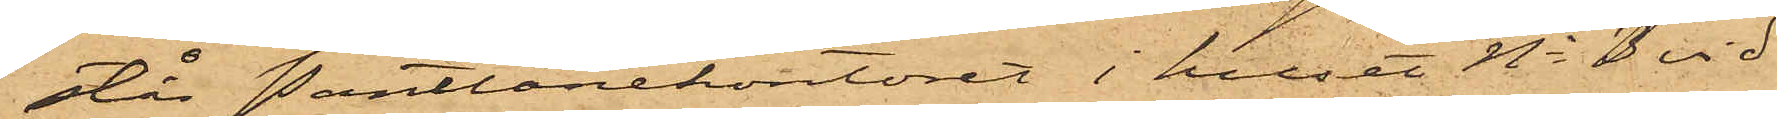står Pantlånekontoret i huset No 3 vid
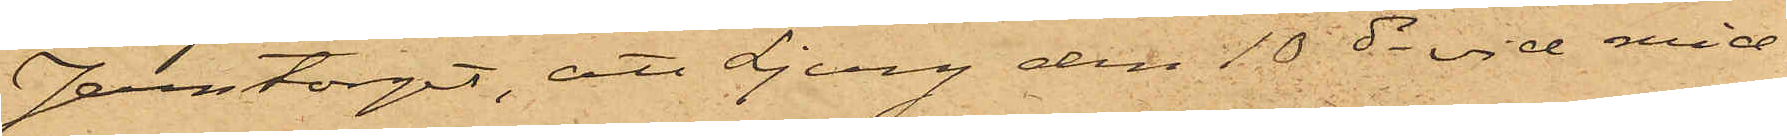Jerntorget, att Ljung den 10 ds vid mid¬
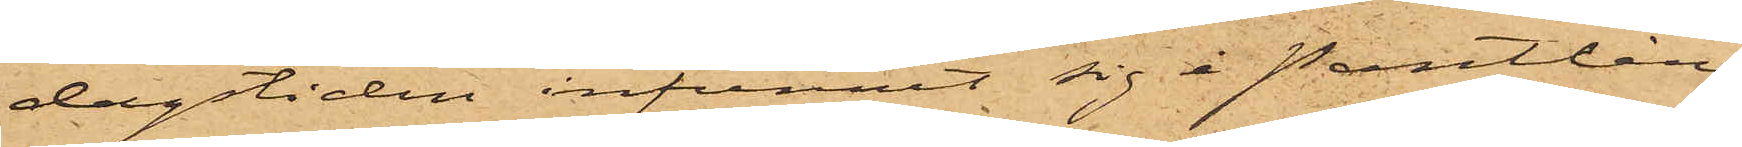dagstiden infunnit sig å pantlåne¬
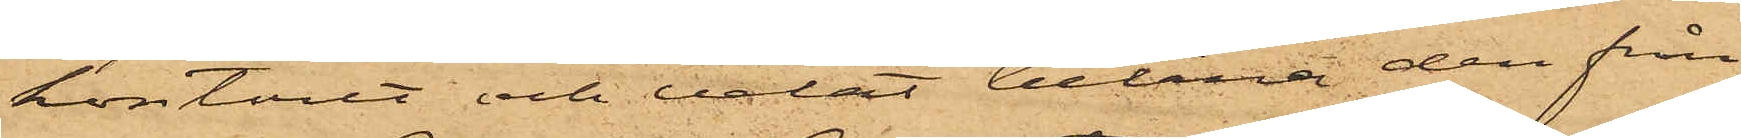kontoret och velat belåna den från
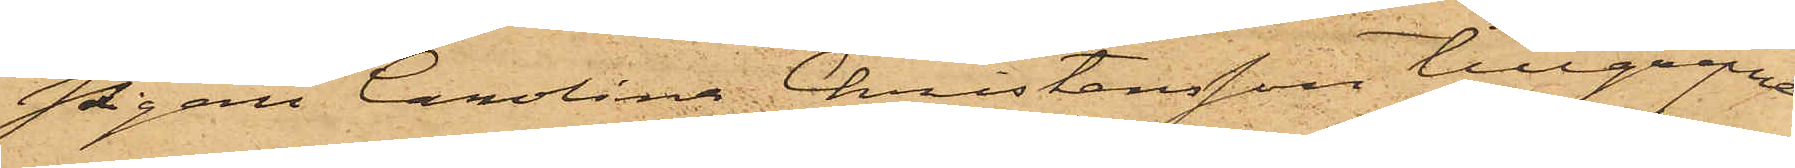Pigan Carolina Christensson tillgripne
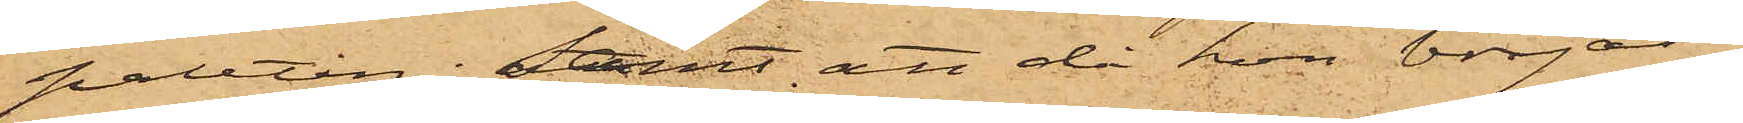paletån; samt att då hon börjat
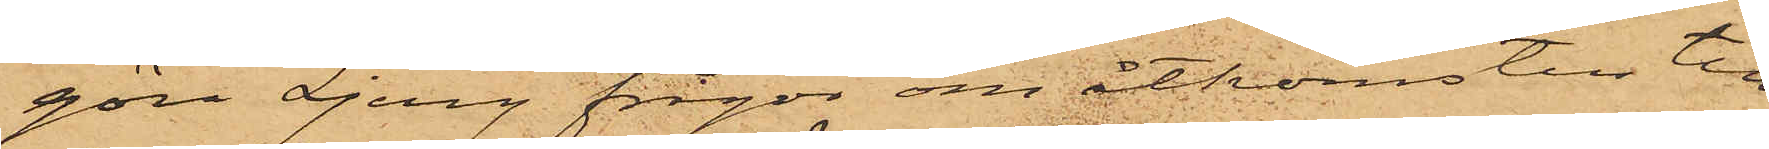göra Ljung frågor om åtkomsten till
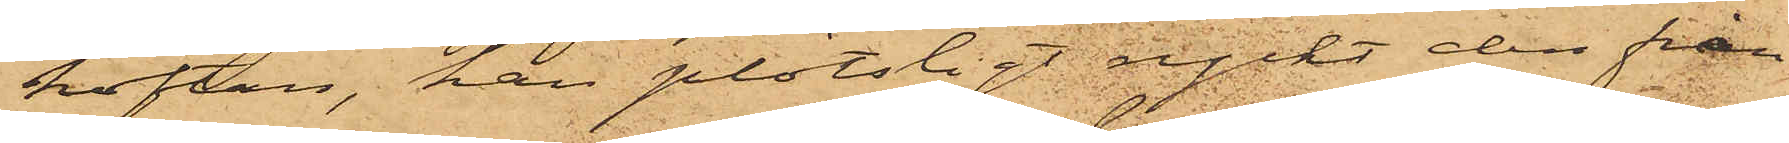koftan, han plötsligt ryckt den från
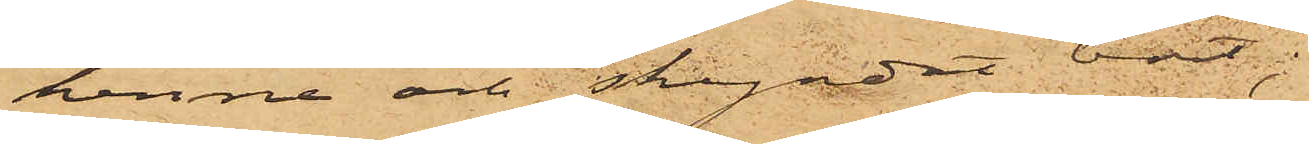henne och skyndat bort;
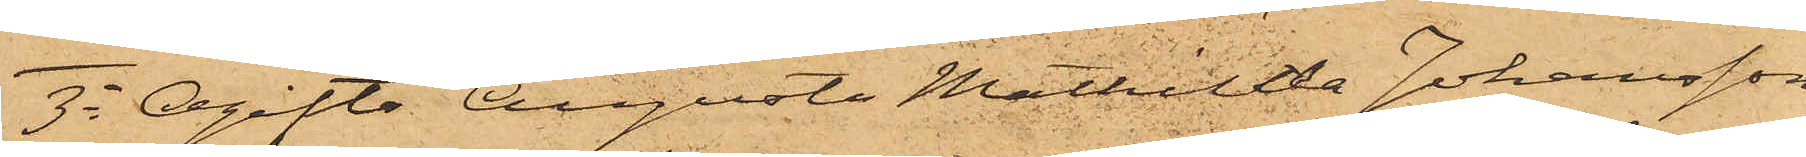3o Ogifta Augusta Mathilda Johansson
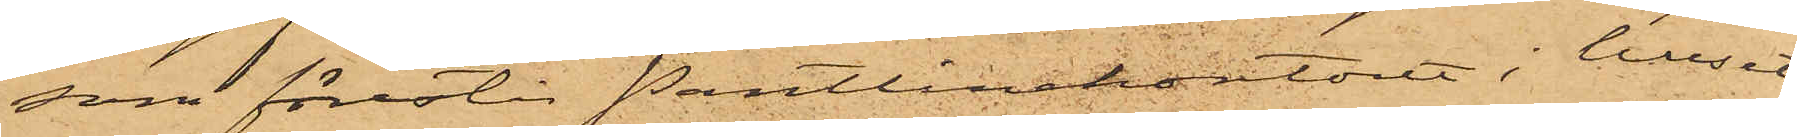som förestår Pantånekontoret i huset
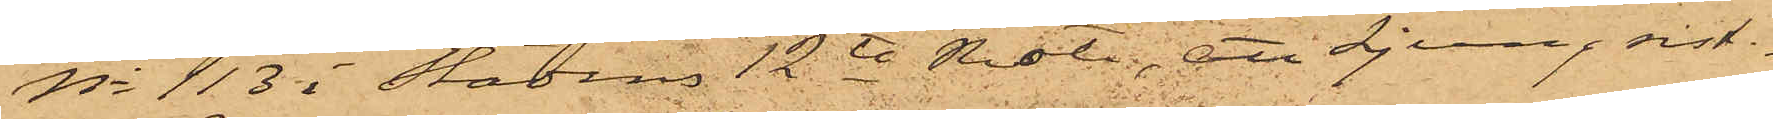No 113 i Stadens 12te Rote, att Ljung sist¬
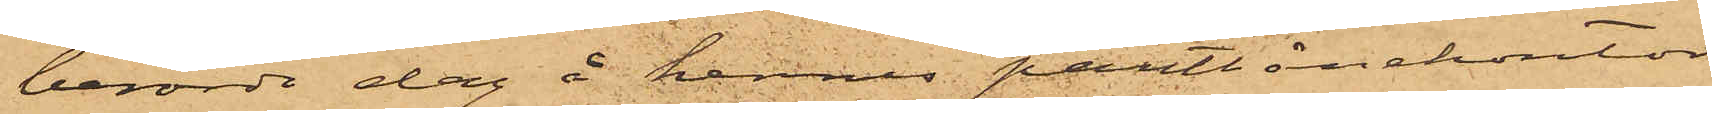berörde dag å hennes pantlånekontor
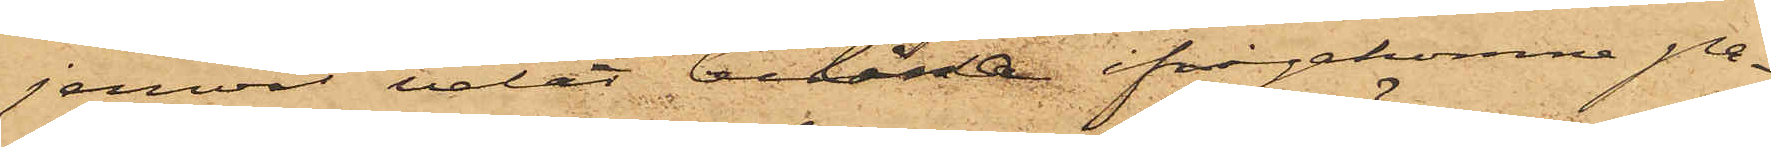jemväl velat belåna ifrågakomne pa¬
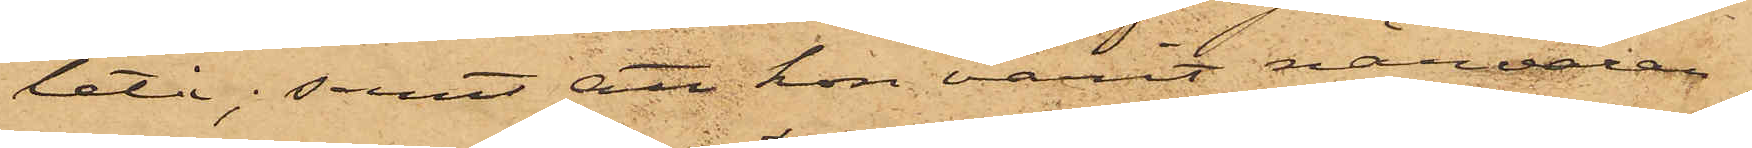letå; samt att hon varit närvaran¬
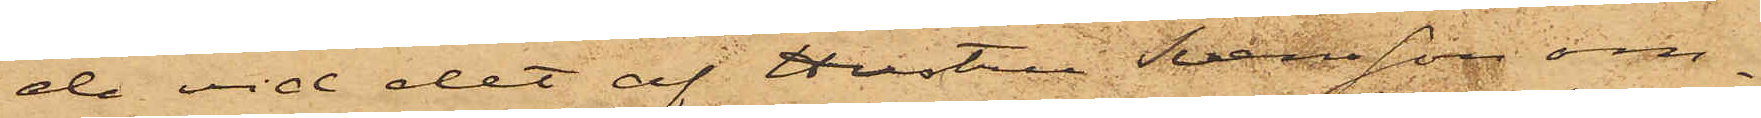de vid det af Hustru Svensson om¬
